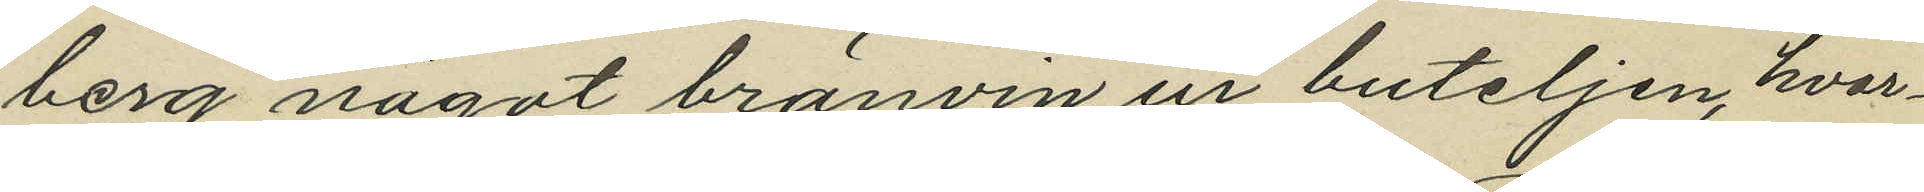berg något bränvin en buteljen, hvar¬
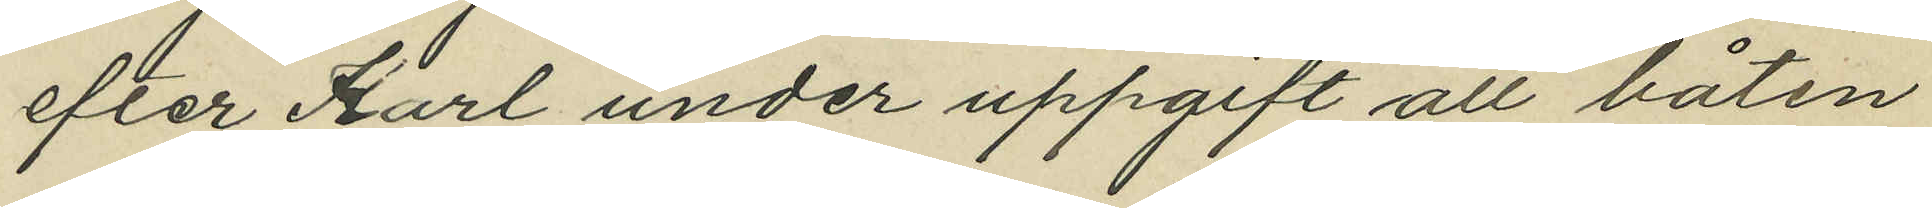efter Karl under uppgift att båten
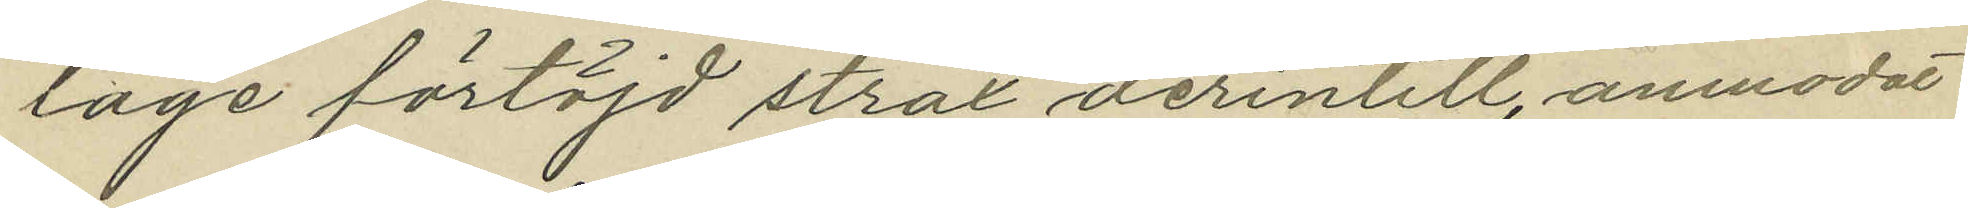låge förtöjd strax derintill, anmodat
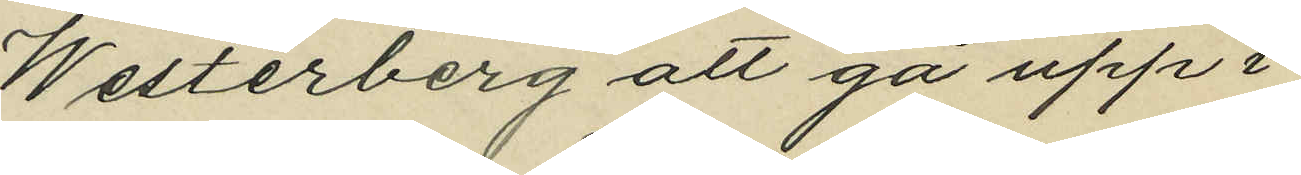Westerberg att gå upp i
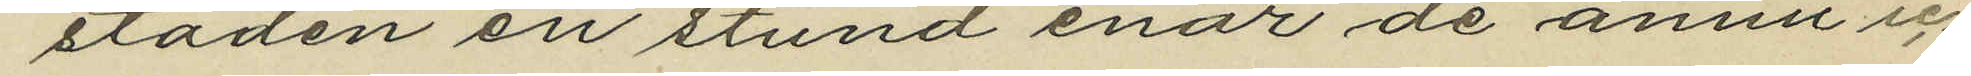staden en stund enär de annu ic¬
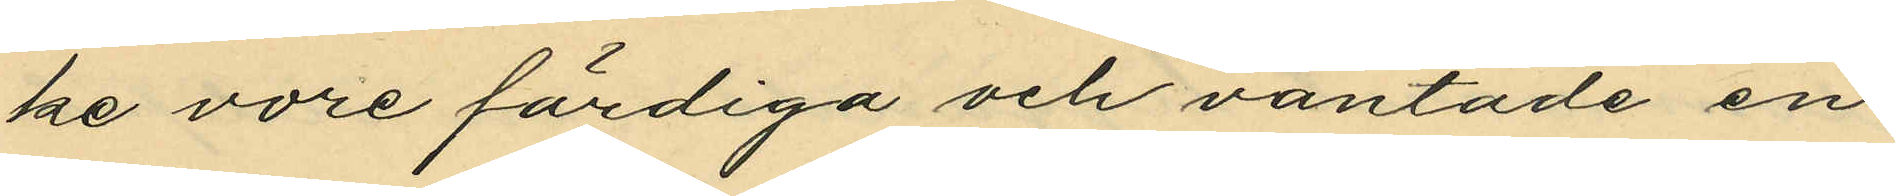ke vore färdiga och väntade en
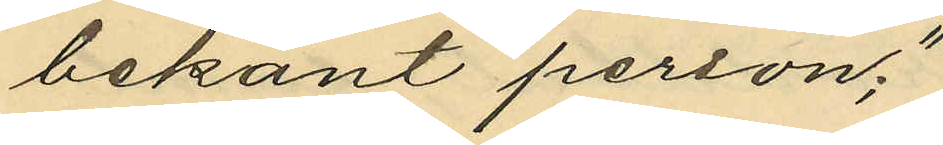bekant person;"
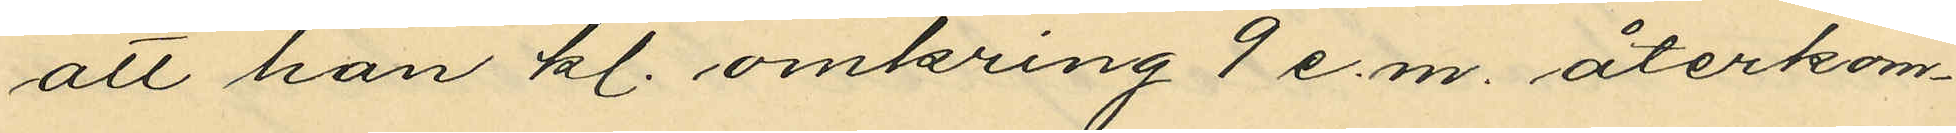att han kl. omkring 7 e.m. återkom¬
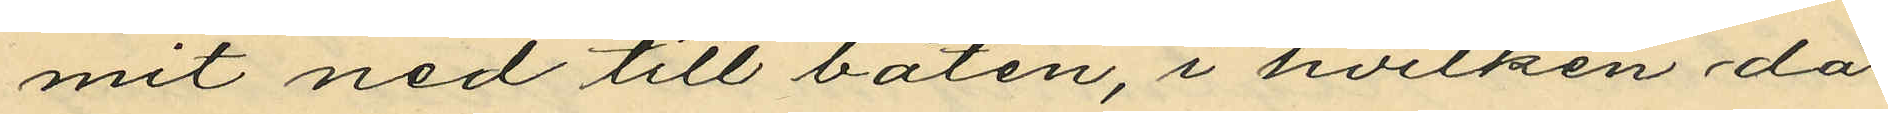mit ned till båten, i hvilken då
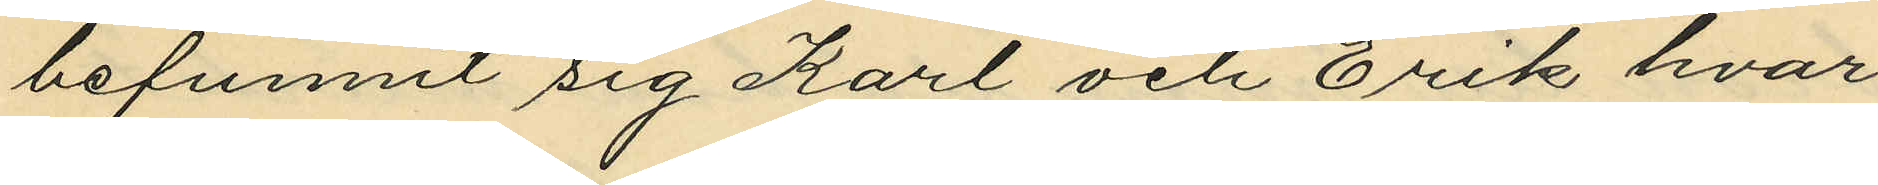befunnit sig Karl och Erik hvar¬
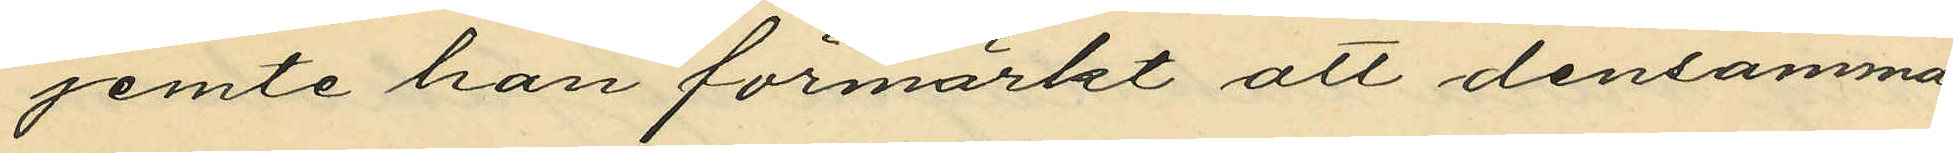jemte han förmärkt att densamma
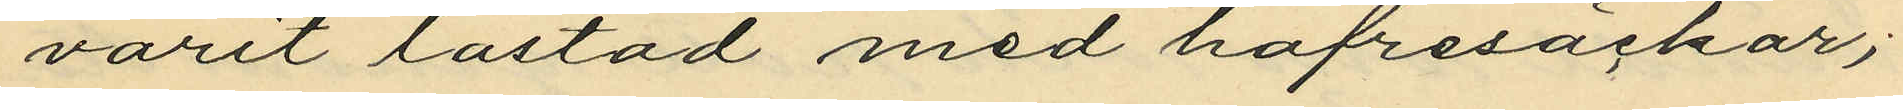varit lastad med hafresäckar;
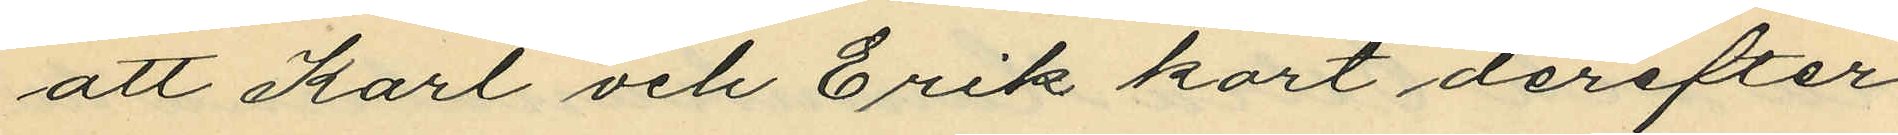att Karl och Erik kort derefter
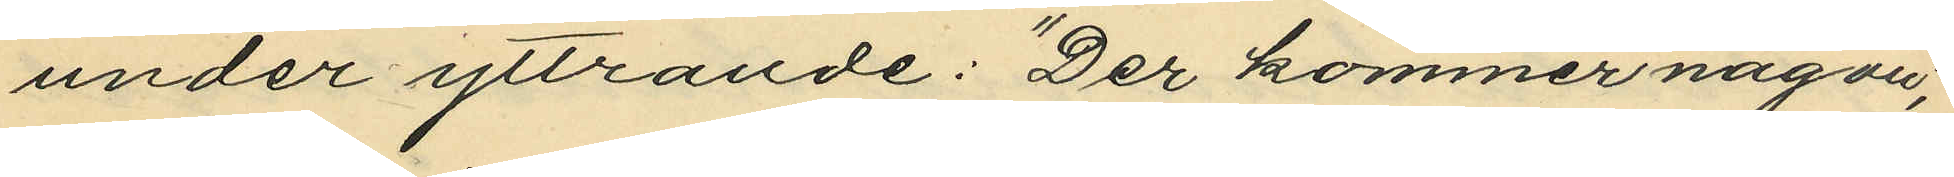under yttrande: "Der kommer någon";
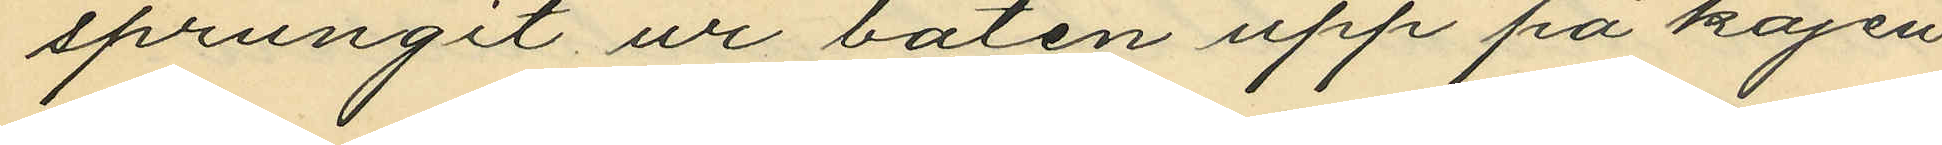sprungit ur båten upp på kajen
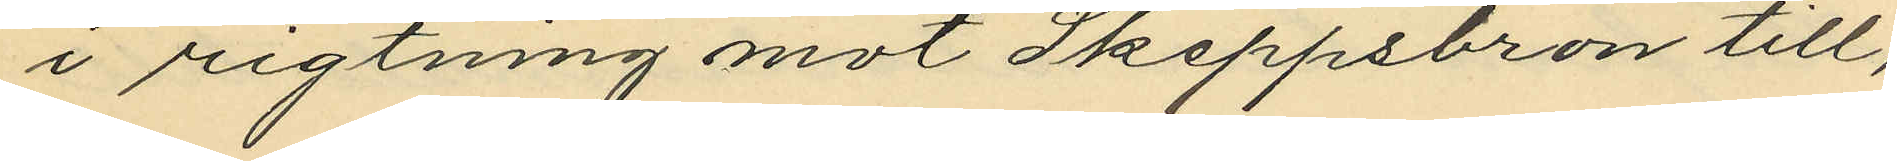i rigtning mot Skeppsbron till,
